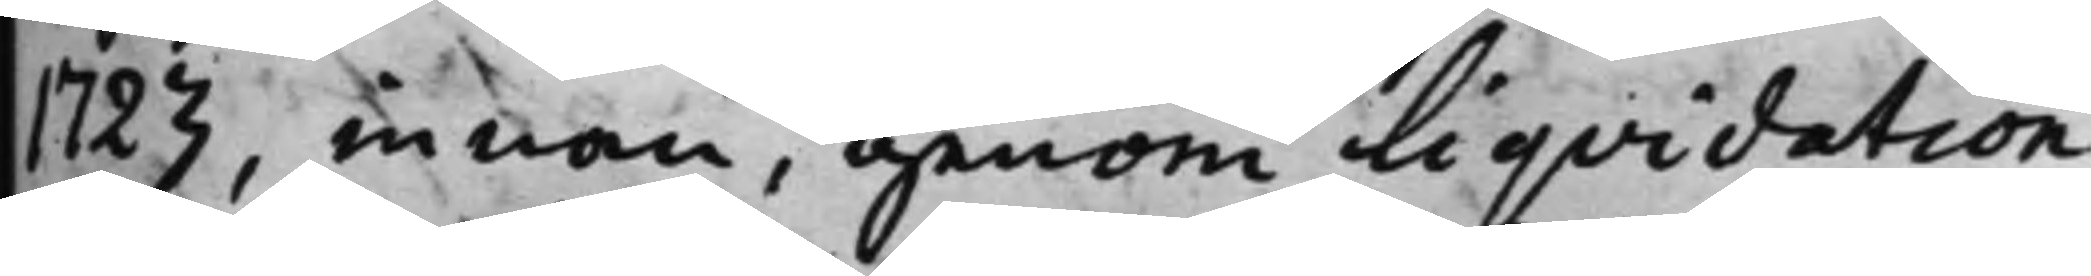1723, innan, genom Liqvidation
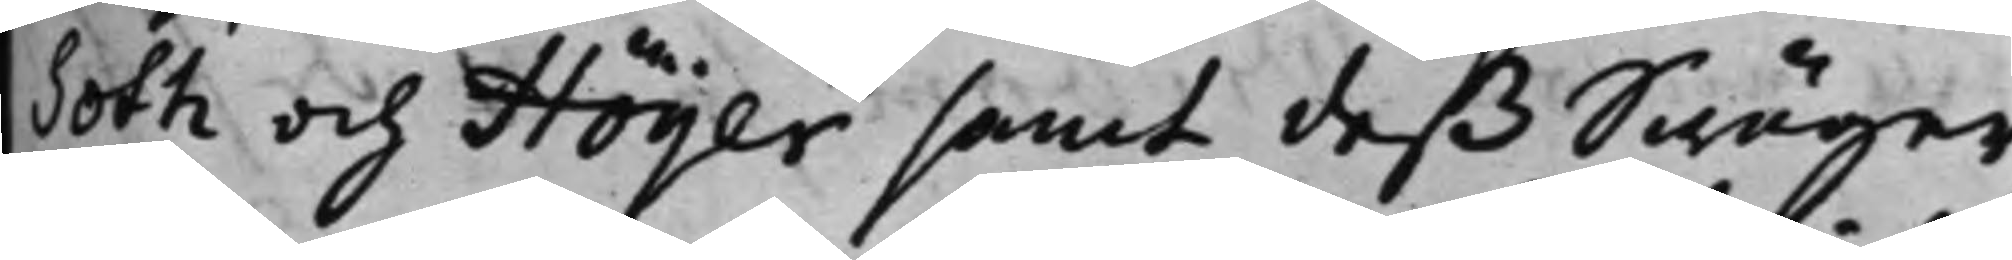Soth och Höijer, samt deß Swäger¬
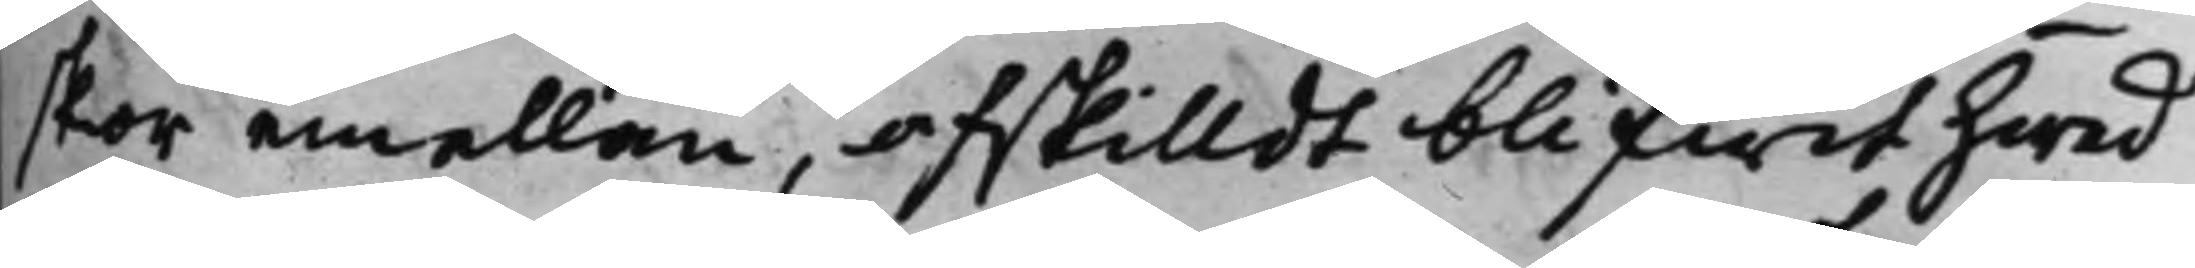skor emellan, afskilldt blifwit hwad
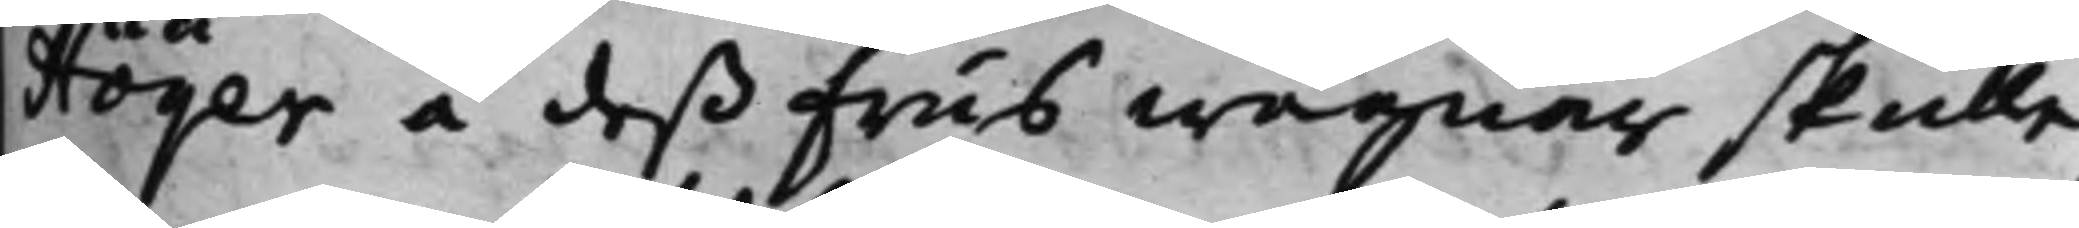Höijer å deß Frus wägnar skulle
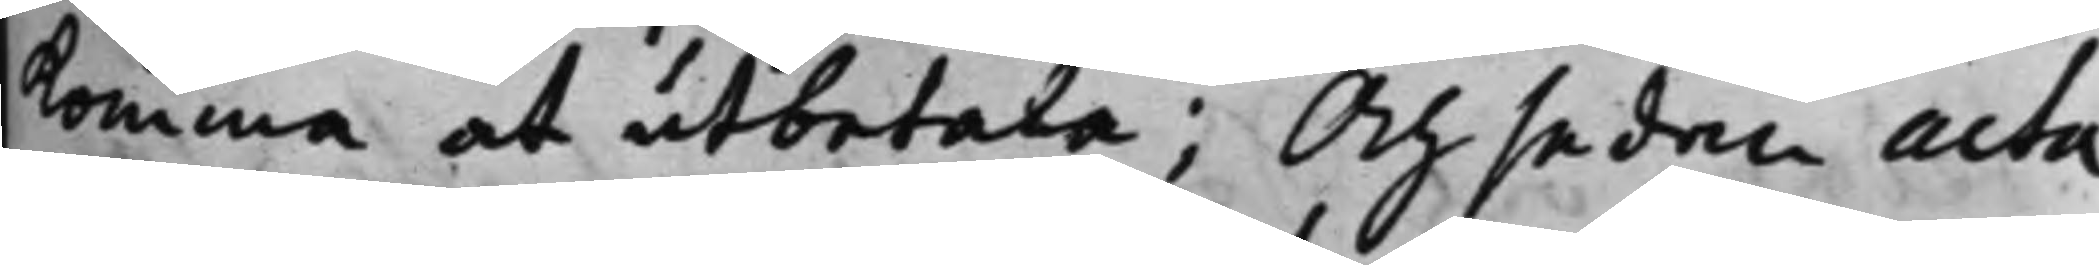komma at utbetala; Och sedan acta
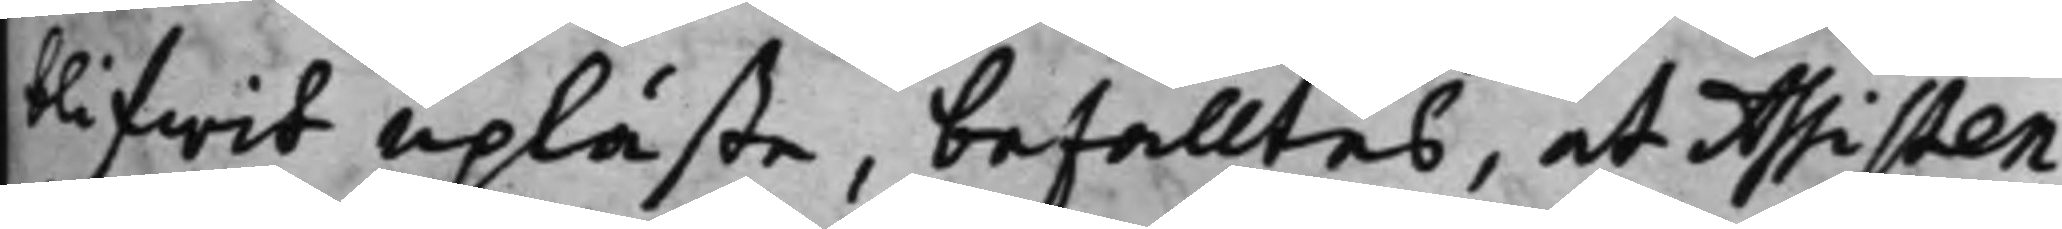blifwit upläste, befalltes, at Assisten¬
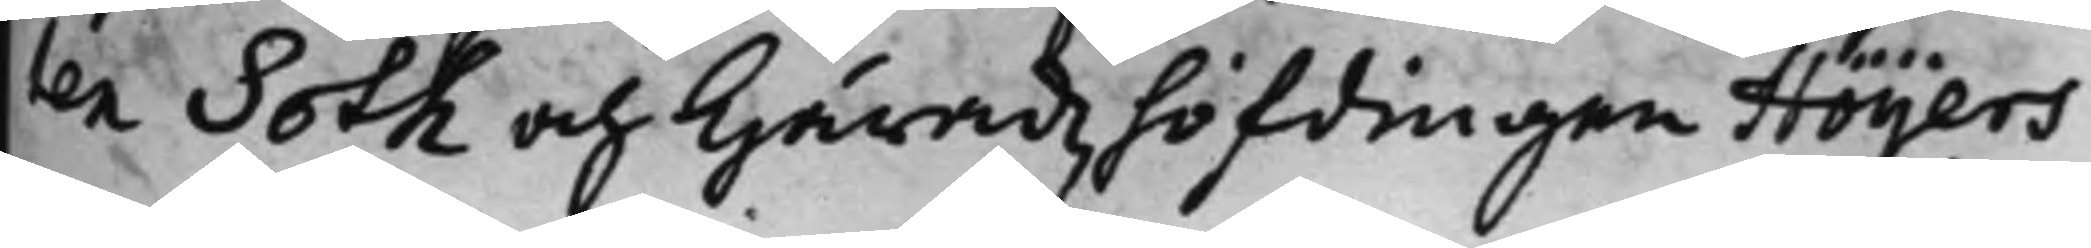ten Soth och Häradzhöfdingen Höijers
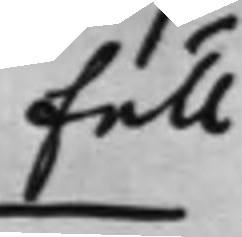full¬
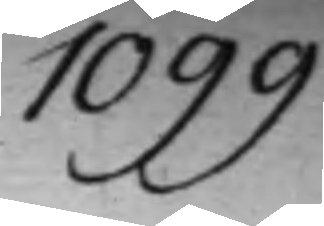1099.
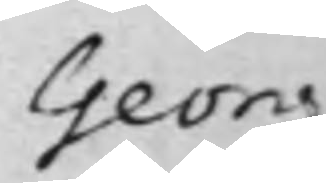Georg
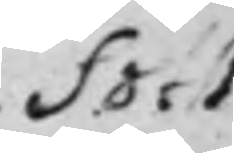Soth
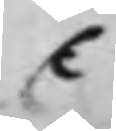C
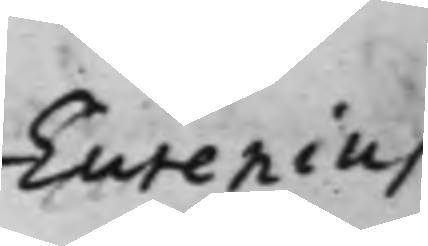Eurenias
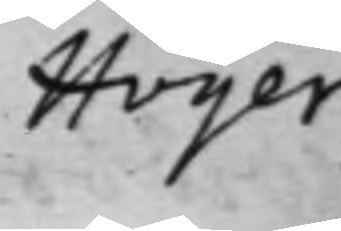Höijer
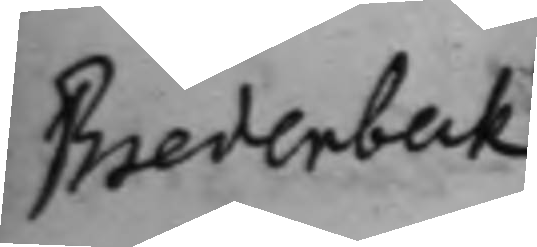Bredenbeck
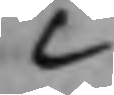C
